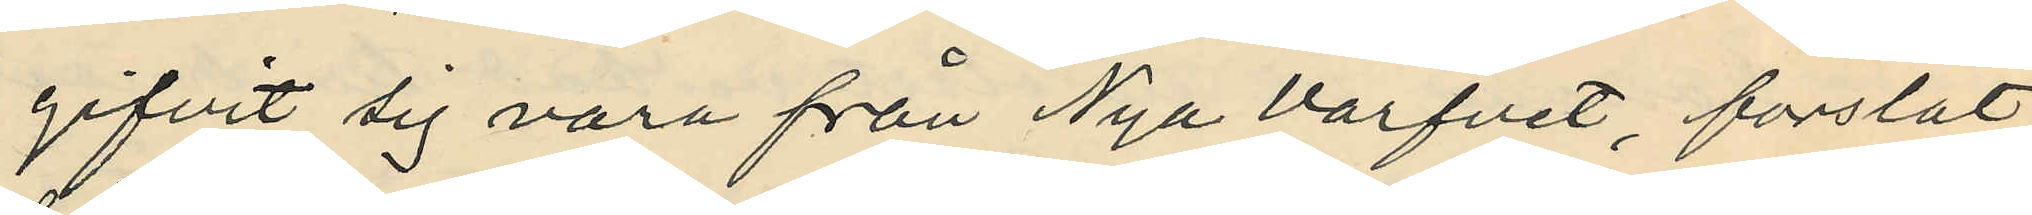gifvit sig vara från Nya Varfvet, forslat
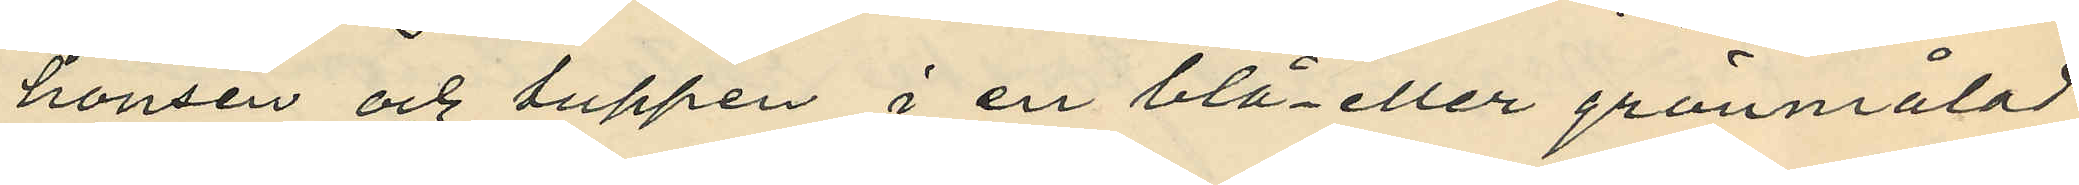hönsen och tuppen i en blå- eller grönmålad
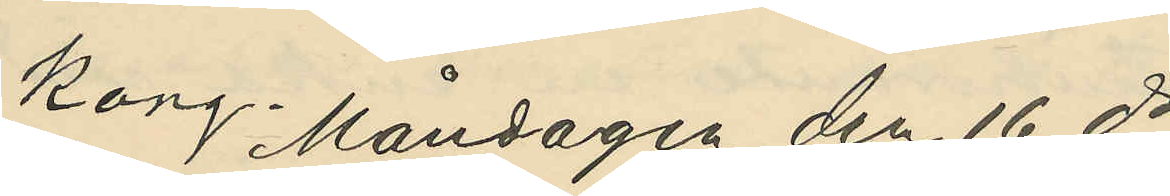korg. Måndagen den 16 ds
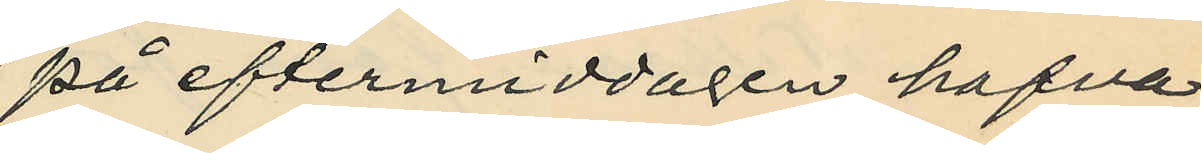på eftermiddagen hafva
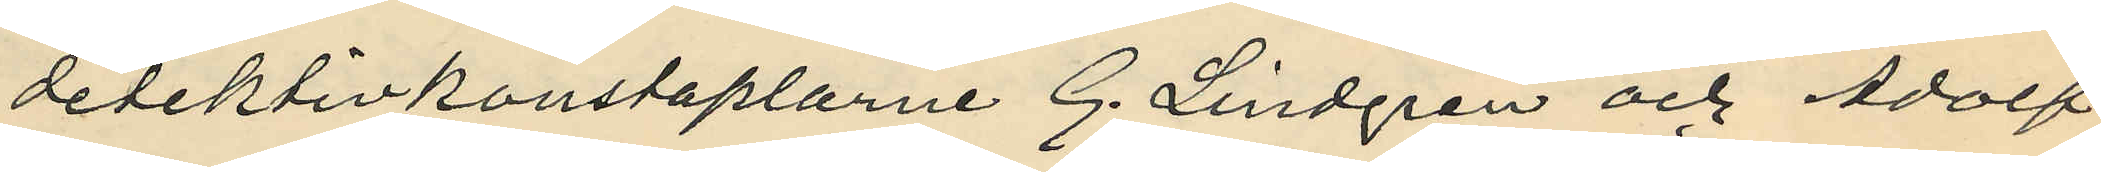detektivkonstaplarne G. Lindgren och Adolf
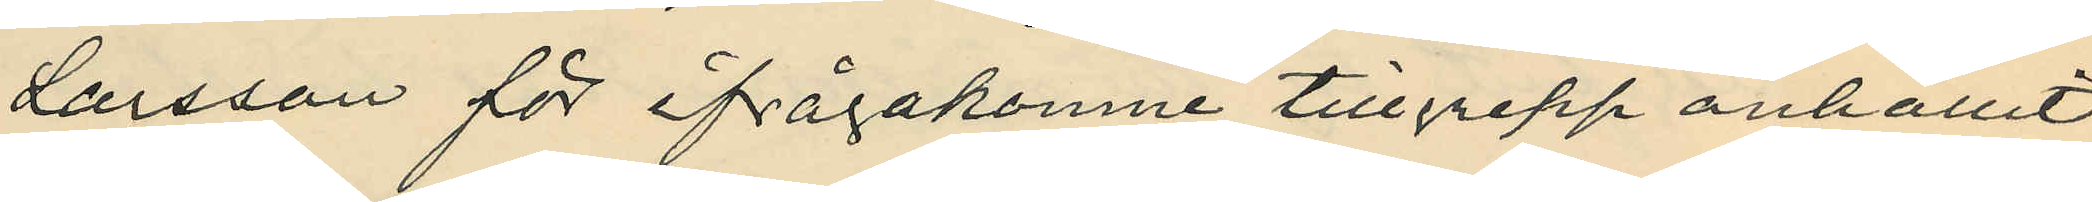Larsson för ifrågakomne tillgrepp anhållit
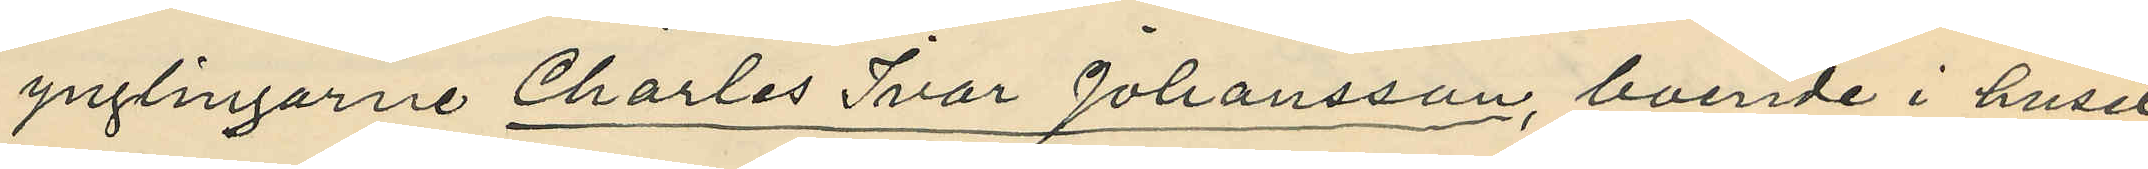ynglingarne Charles Ivar Johansson, boende i huset
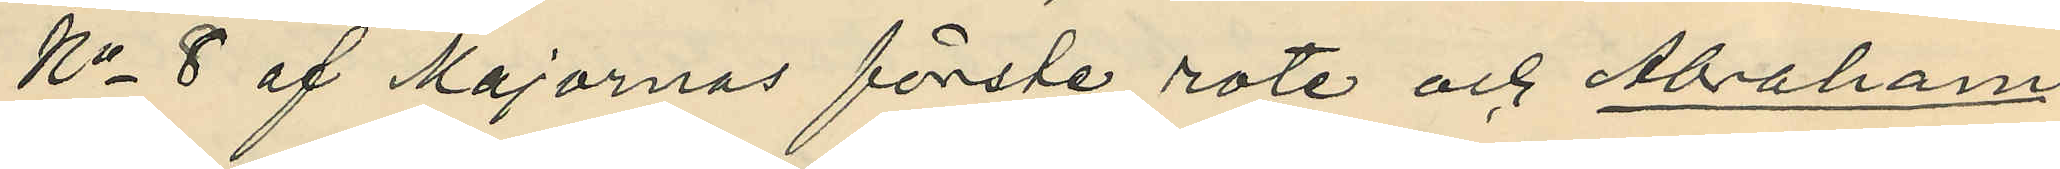No 8 af Majornas förste rote och Abraham
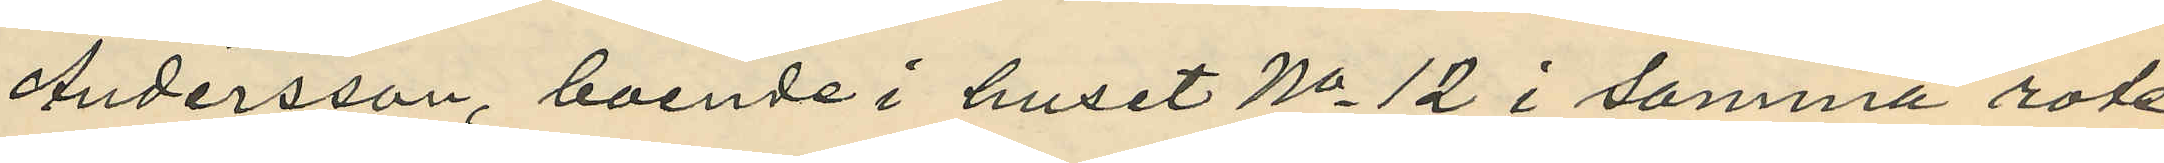Andersson, boende i huset No 12 i samma rote;
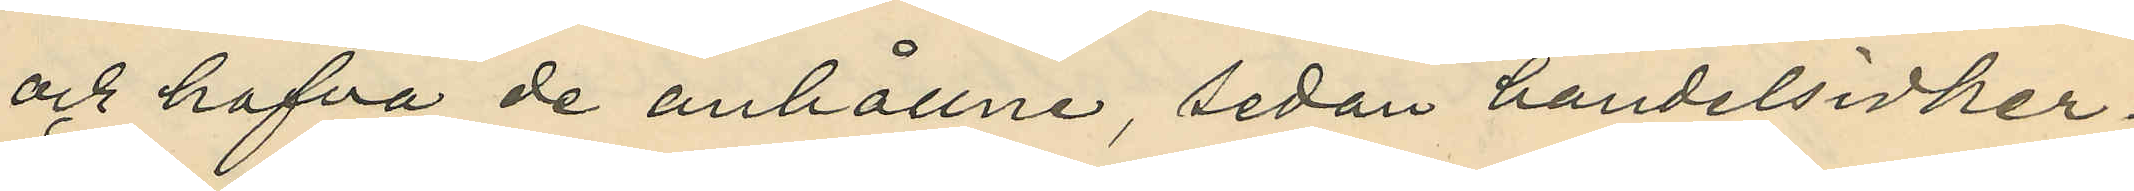och hafva de anhållne, sedan handelsidker¬
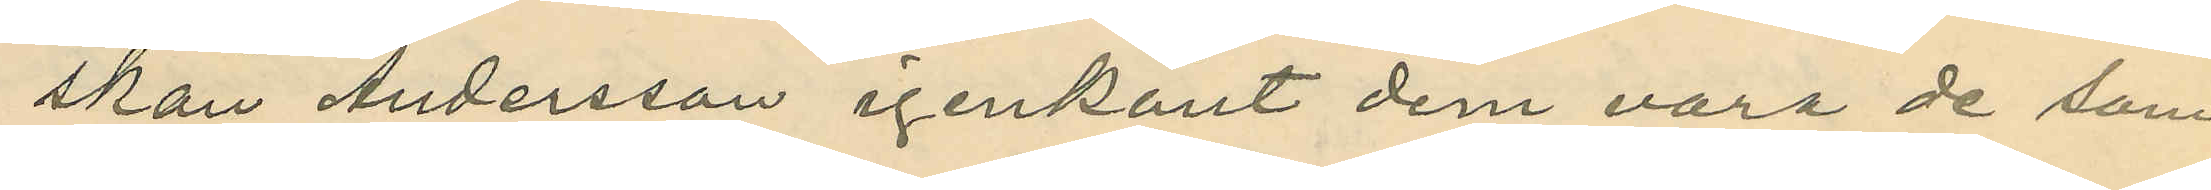skan Andersson igenkänt dem vara de som
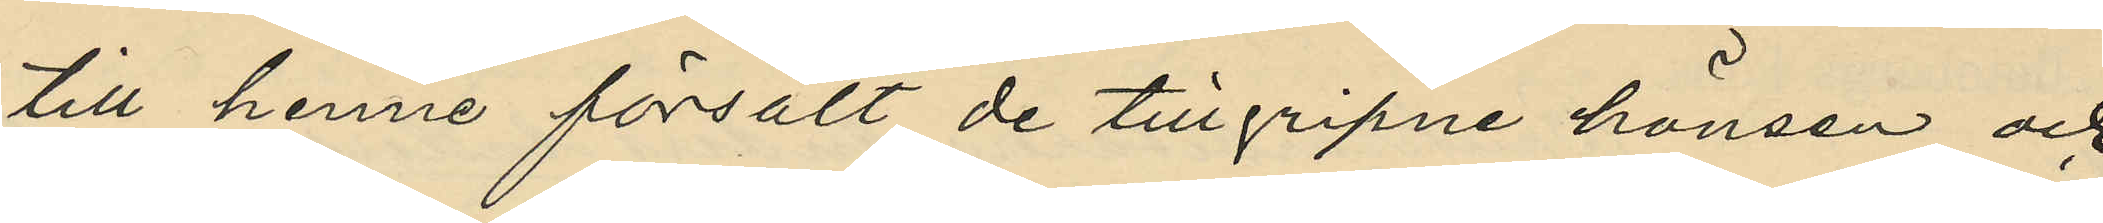till henne försålt de tillgripne hönsen och
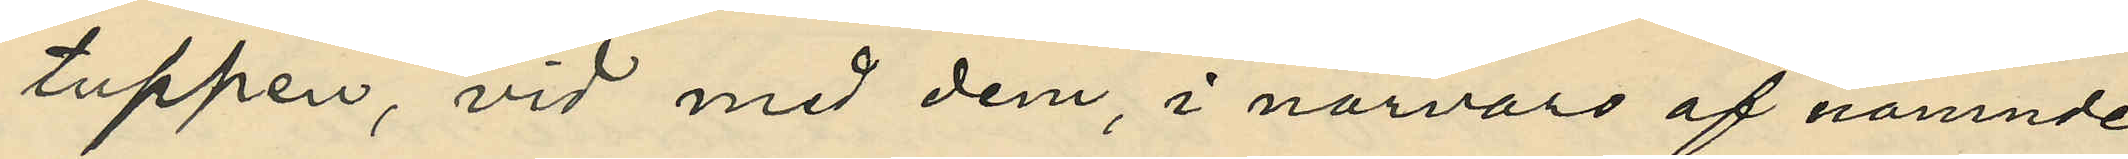tuppen, vid med dem, i närvaro af nämnde
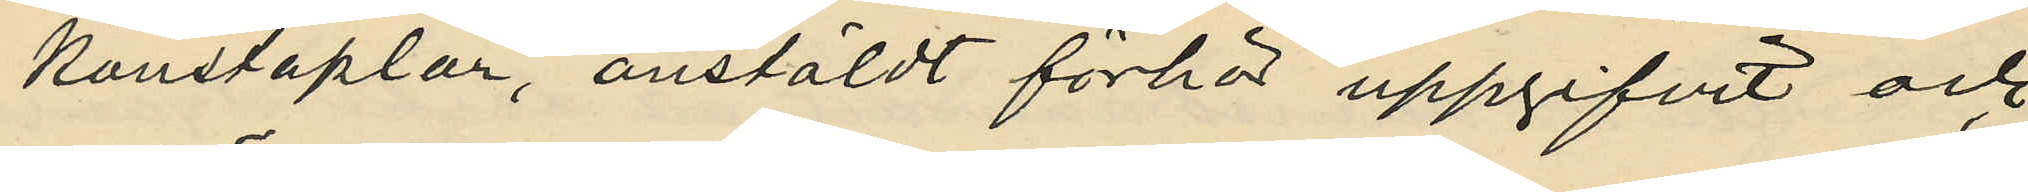konstaplar, anstäldt förhör uppgifvit och
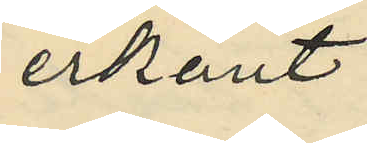erkänt:
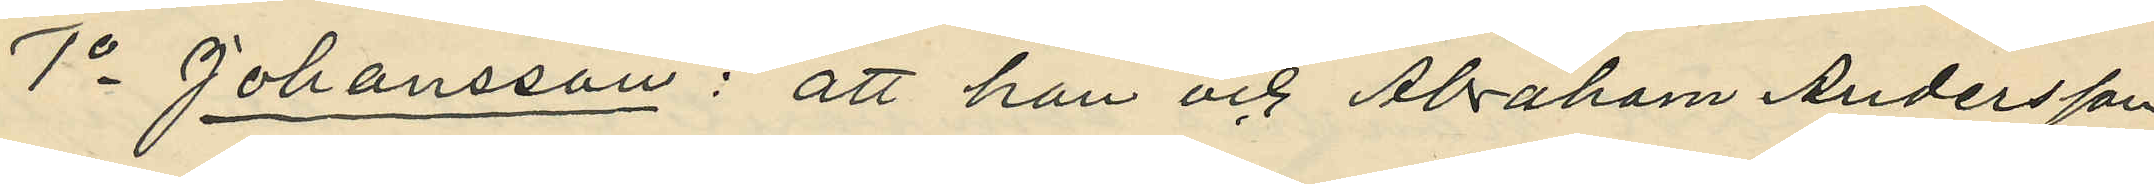1o Johansson: att han och Abraham Andersson
